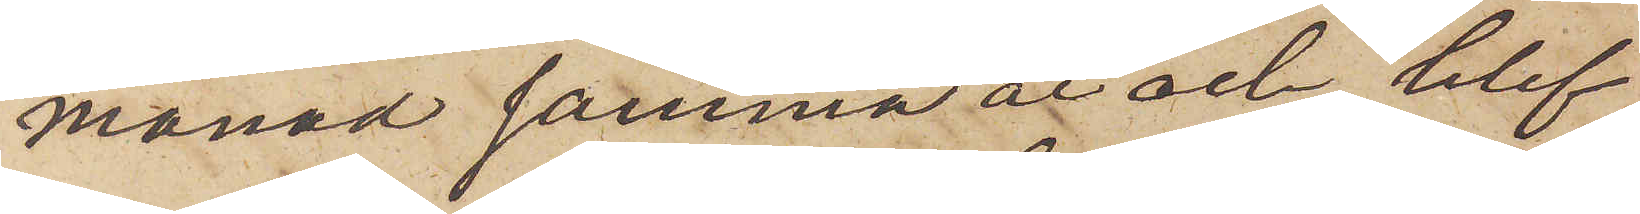månad samma år och blef
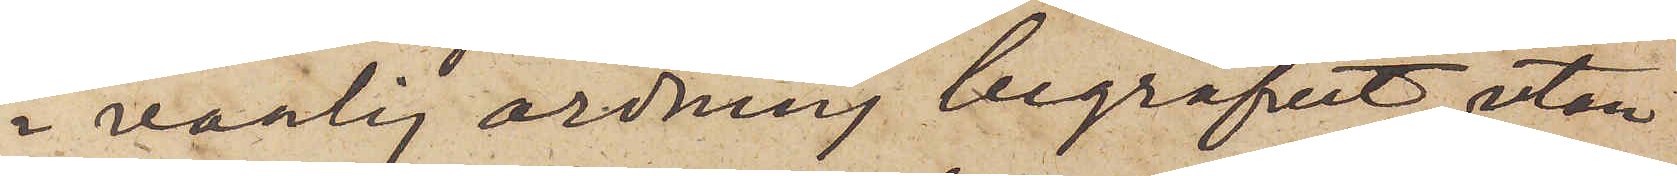i vanlig ordning begrafvet, utan
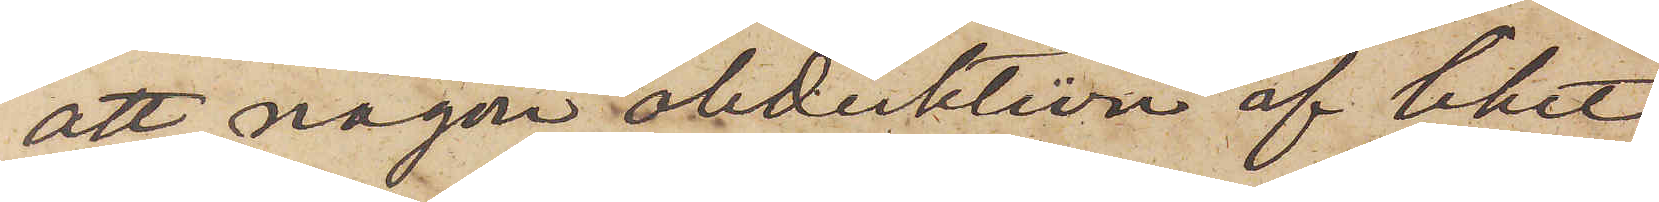att någon obduktion af liket
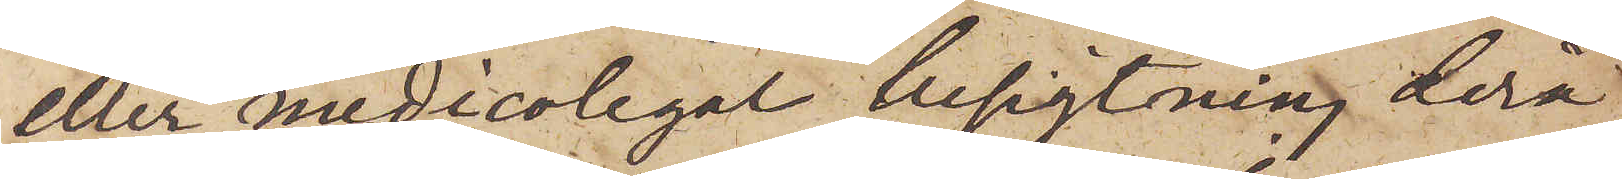eller medicolegal besigtning derå
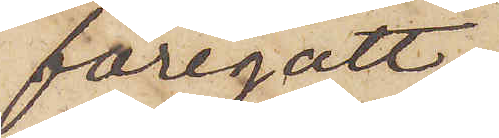föregått,
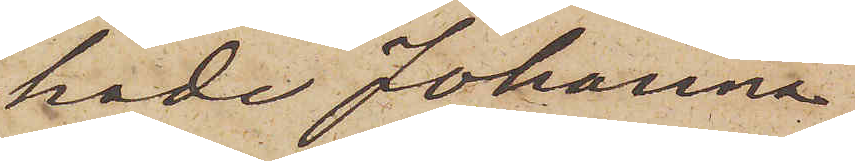hade Johanna
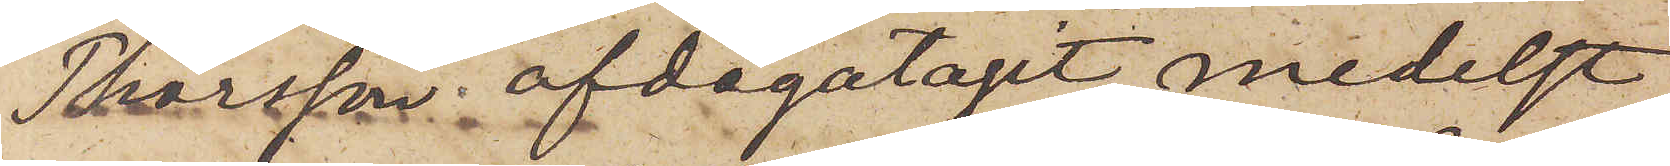Thorsson afdagatagit medelst
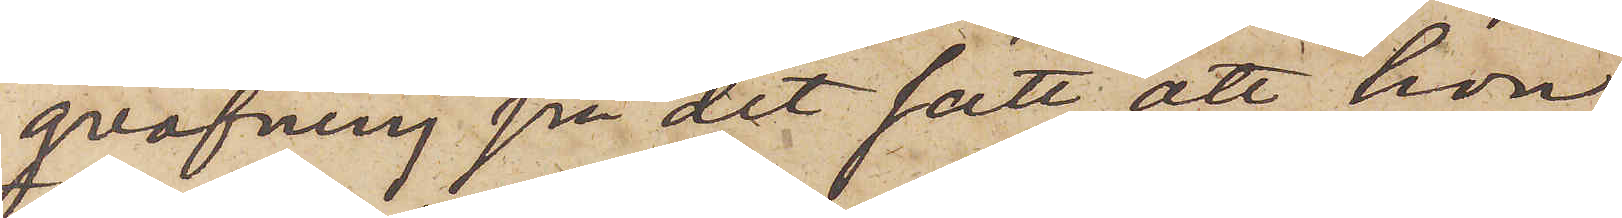qväfning på det sätt, att hon
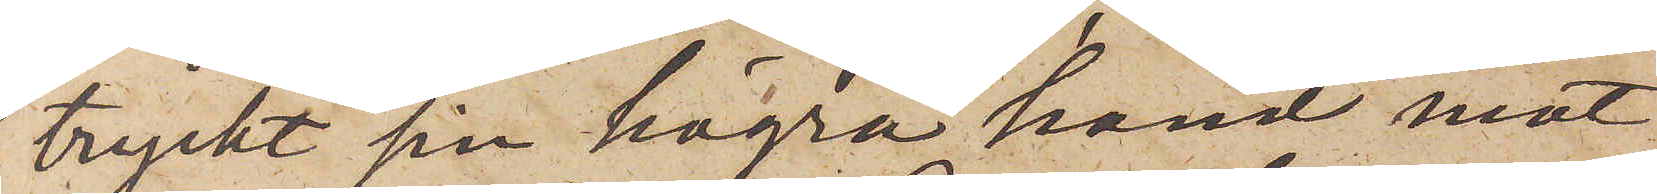tryckt sin högra hand mot
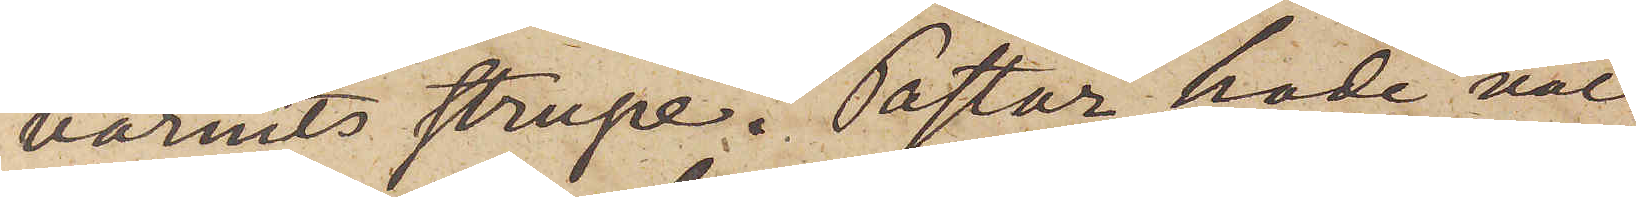barnets strupe. Pastor hade väl
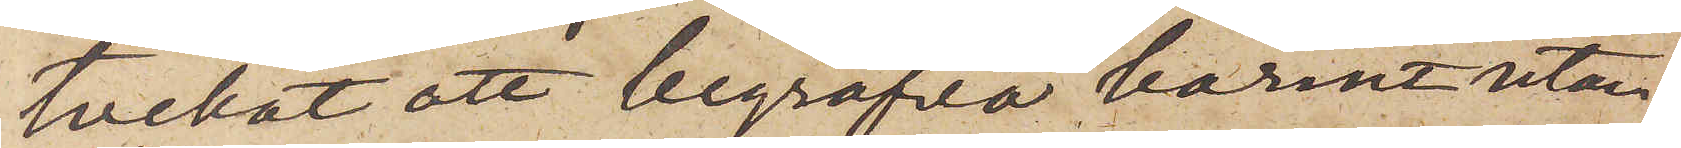tvekat att begrafva barnet utan
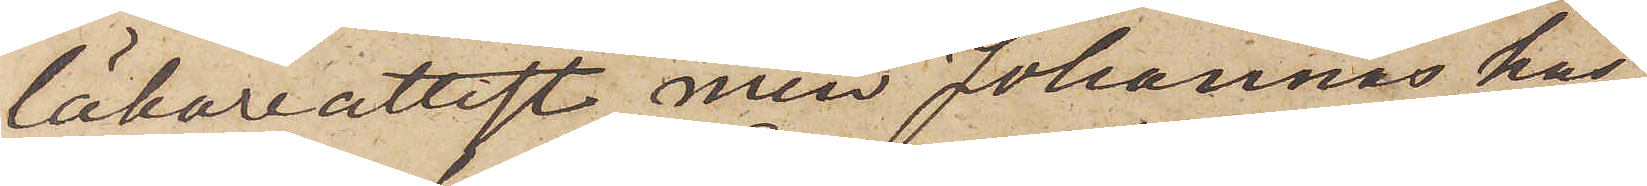läkarattest, men Johannas hus¬
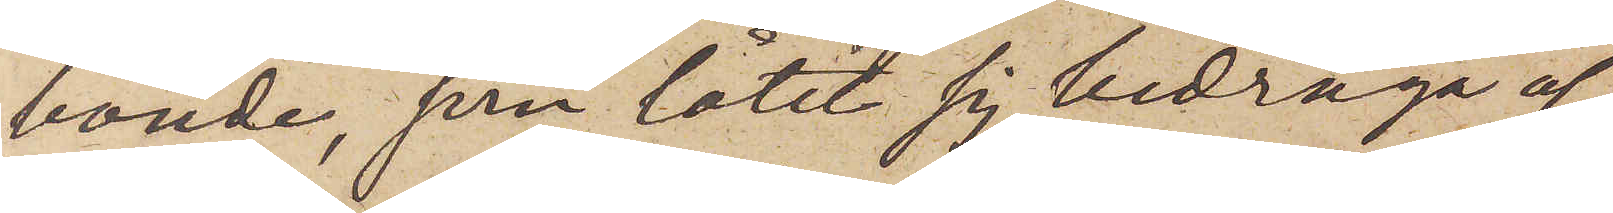bonde, som låtit sig bedraga af
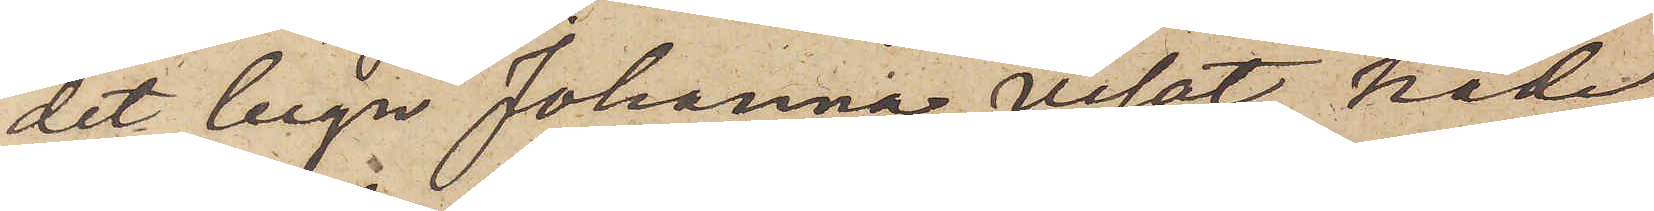det lugn Johanna visat, hade
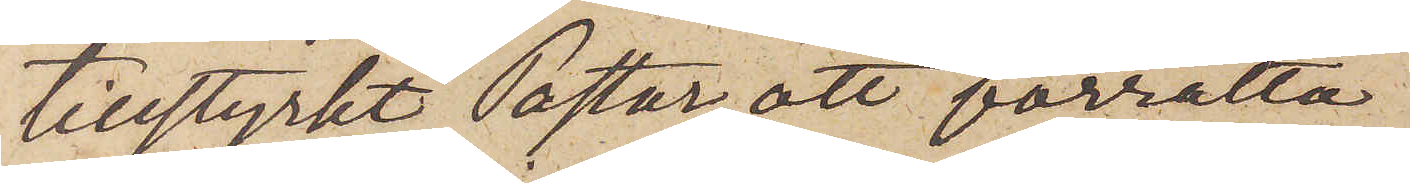tillstyrkt Pastor att förrätta
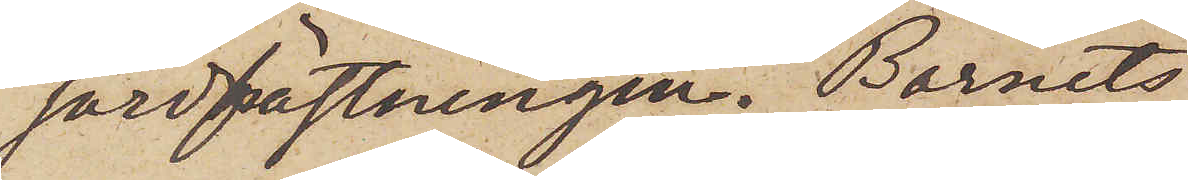jordfästningen. Barnets
